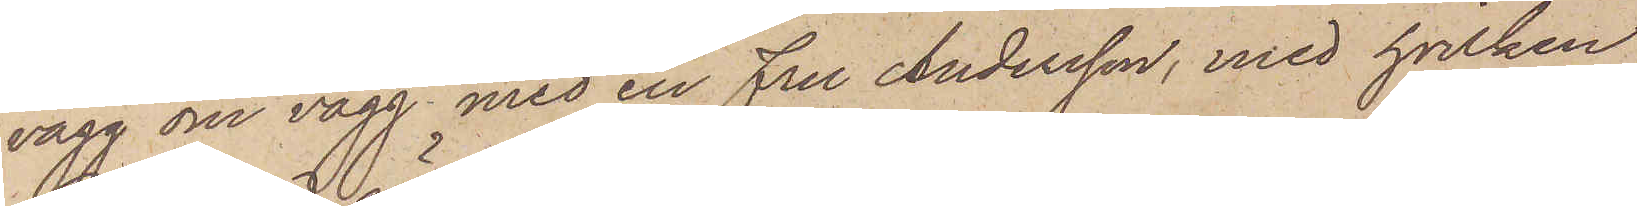vägg om vägg med en fru Andersson, med hvilken
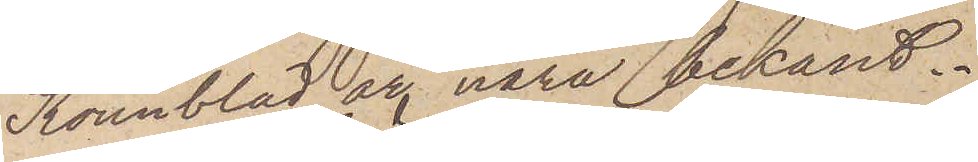Rönnblad är nära bekant.
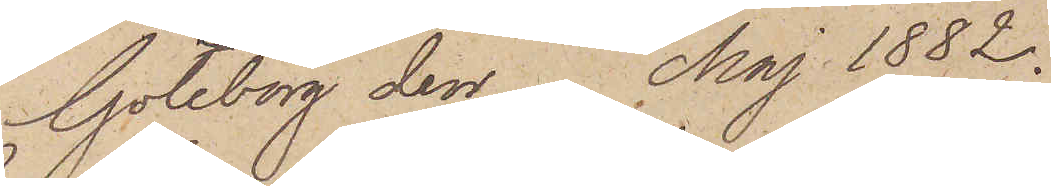Göteborg den Maj 1882.
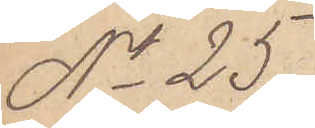No 25.
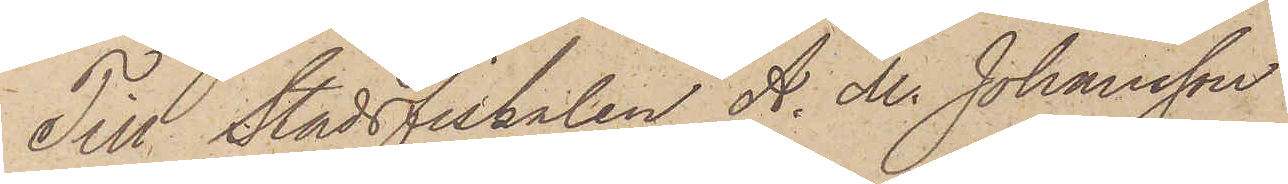Till Stadsfiskalen A. M. Johansson
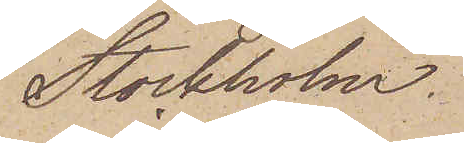Stockholm.
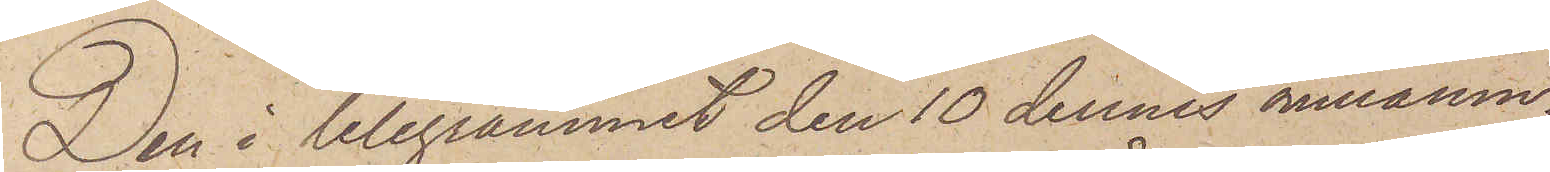Den i telegrammet den 10 dennes omnämn¬
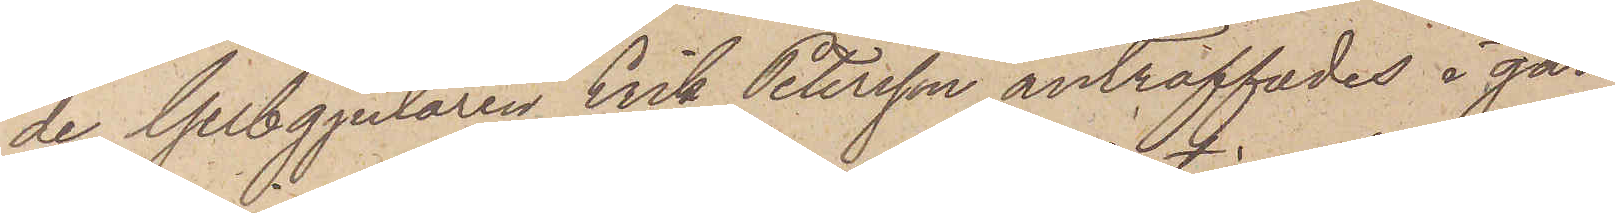de Gelbgjutaren Erik Petersson anträffades i går
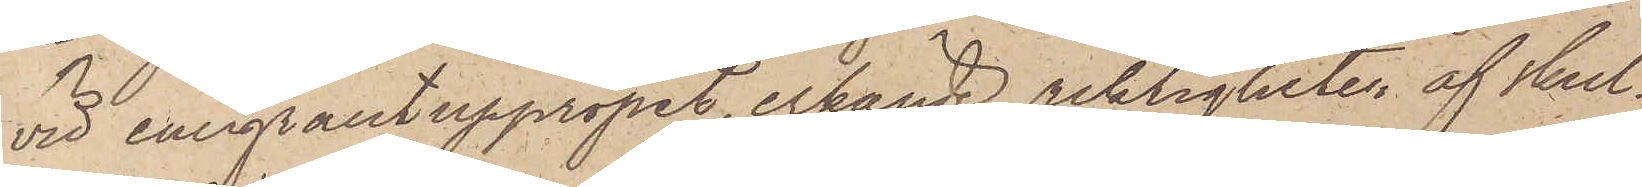vid emigrantuppropet, erkände riktigheten af skul¬
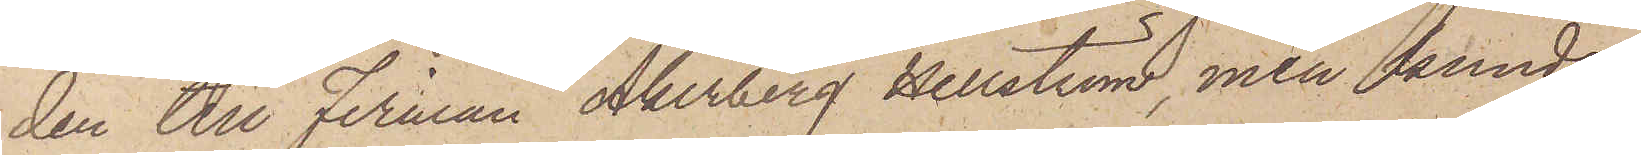den till firman Åkerberg Hellström, men kunde
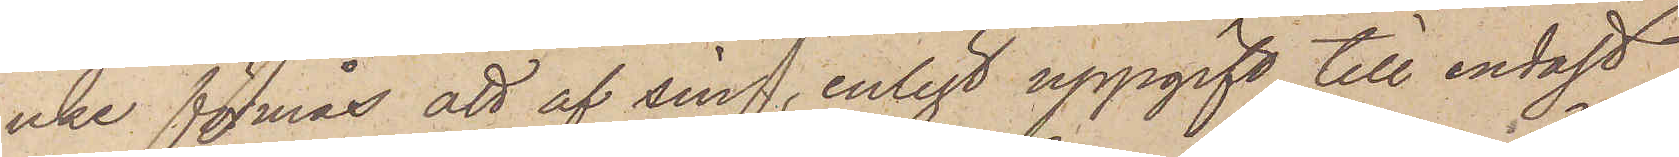icke förmås att af sin, enligt uppgift, till endast
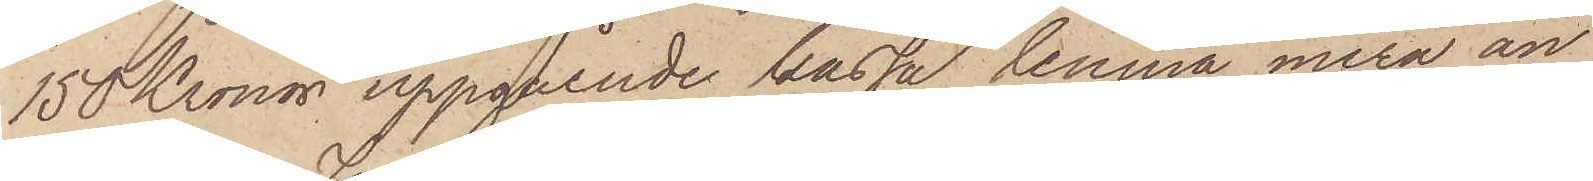150 Kronor uppgående kassa lemna mera än
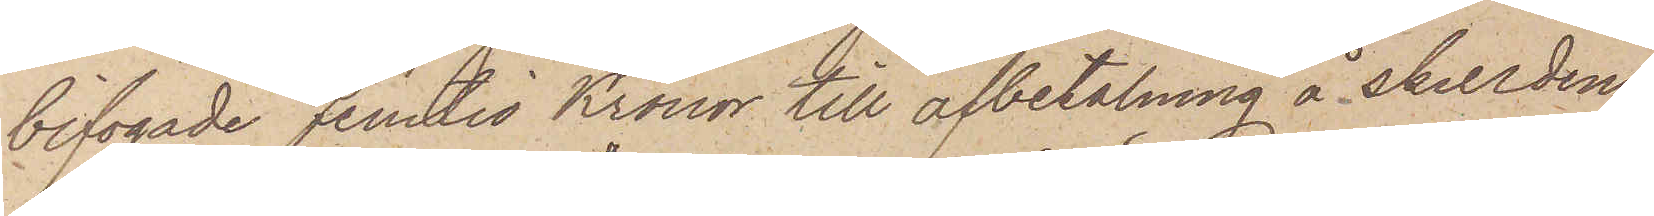bifogade femtio Kronor till afbetalning å skulden.
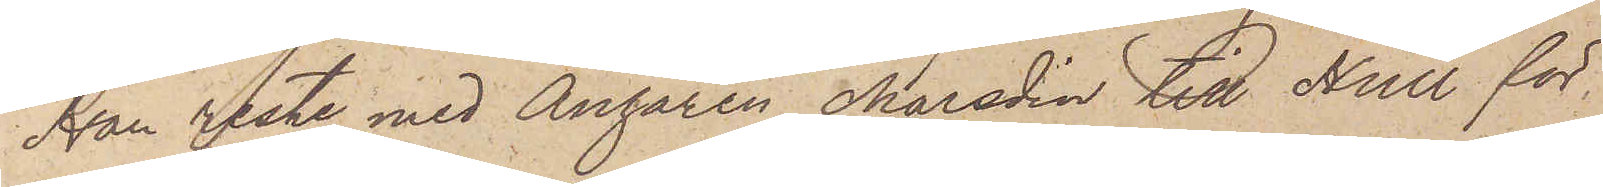Han reste med Ångaren Maradin till Hull för
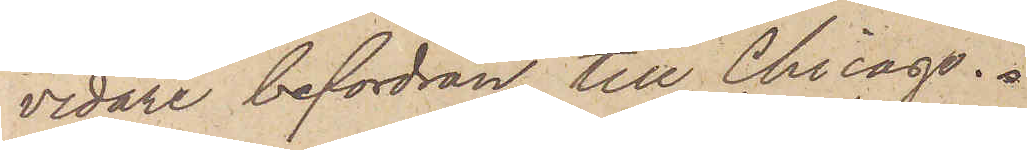vidare befordran till Chicago.
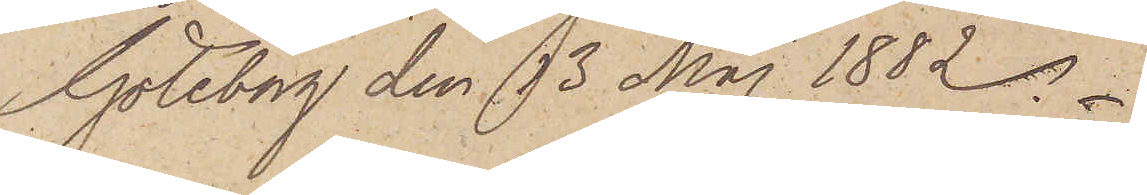Göteborg den 13 Maj 1882.
